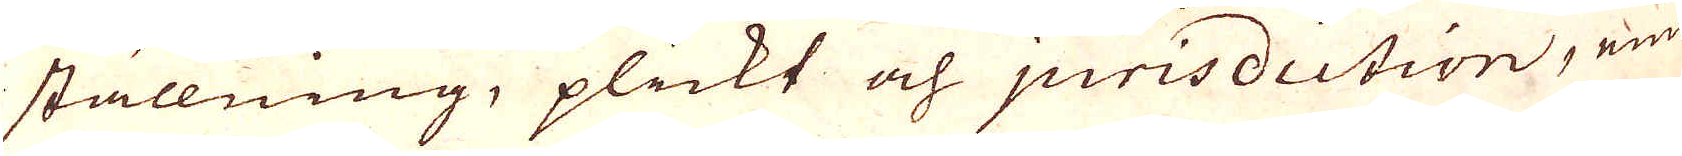ställning, plickt och jurisdiction, eme-
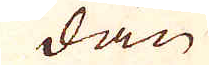dan
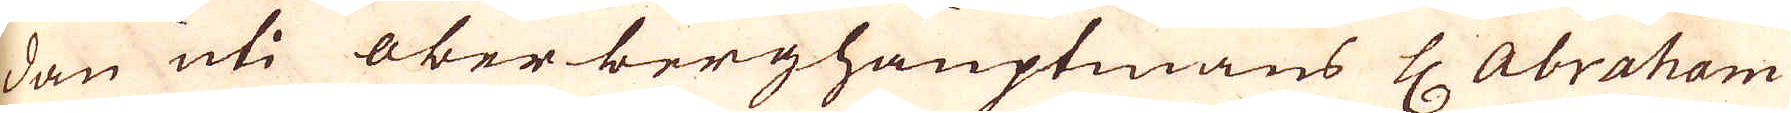dan uti ober berghauptmans Hr Abraham
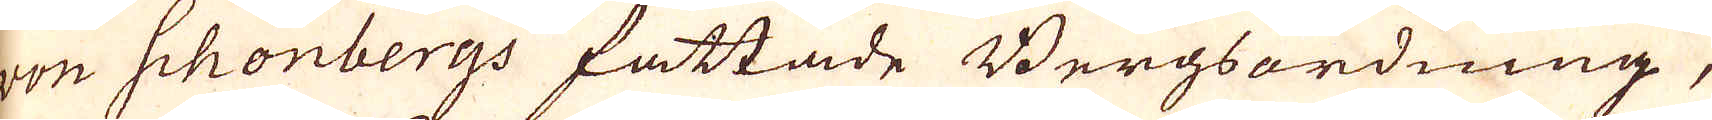von Schonbergs fattade Bergsordning,
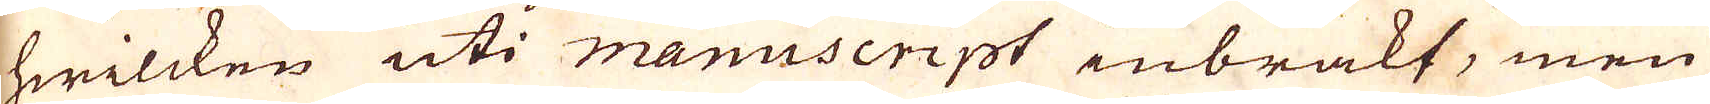hwilcken uti manuscript inbrakt, men
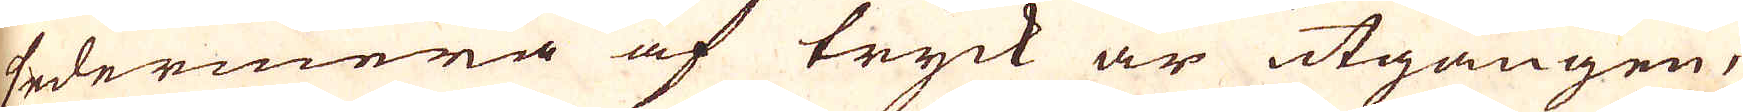sedermera af tryck är utgången,
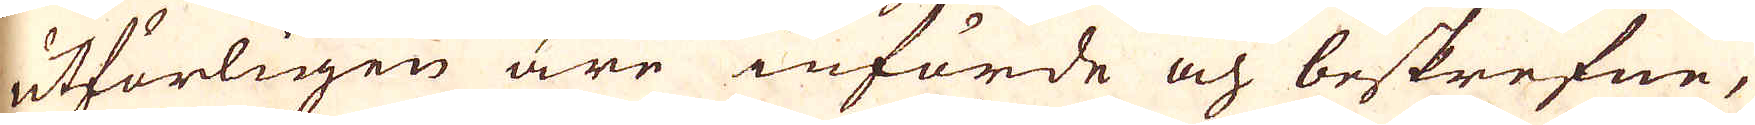utförligen äre införde och beskrefne,
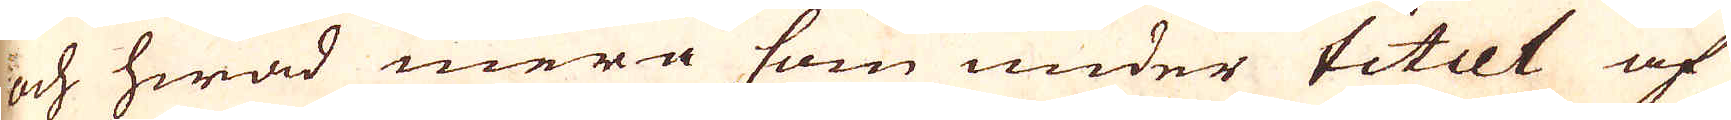och hwad mera som under titul af
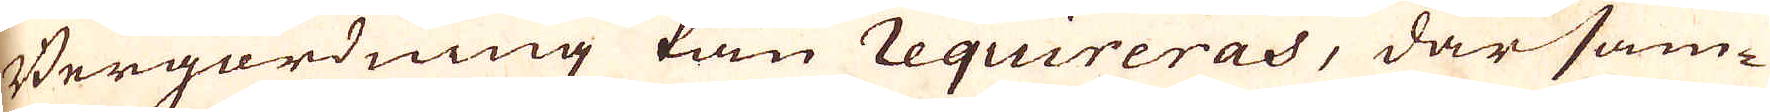Bergordning kan requireras, där sam-
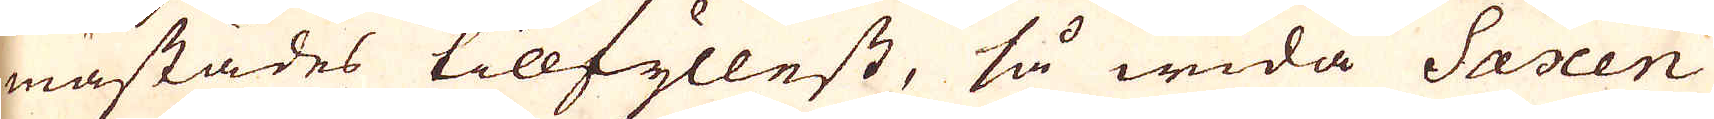mastädes tillfyllest, så wida Saxen
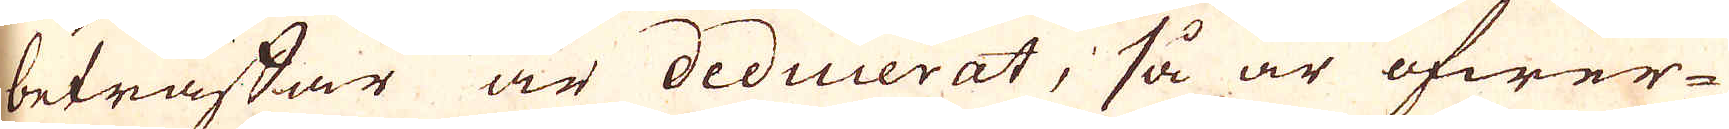beträffar är deducerat, så är öfwer-
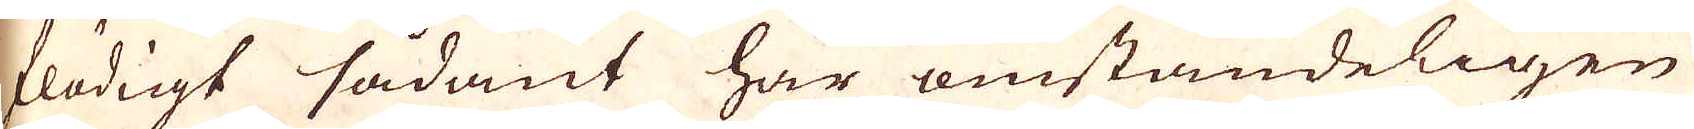flödigt sådant här omständeligen
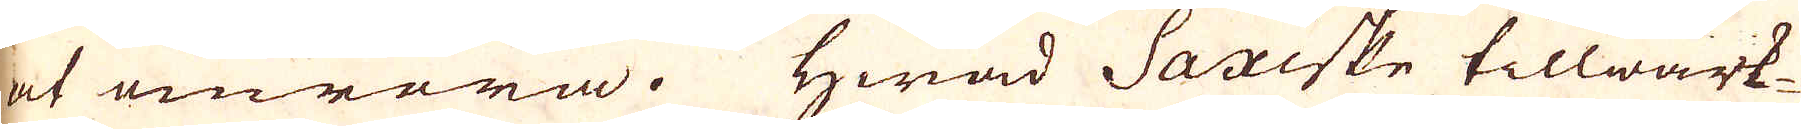at omröra. Hwad Saxiske tillwärk-
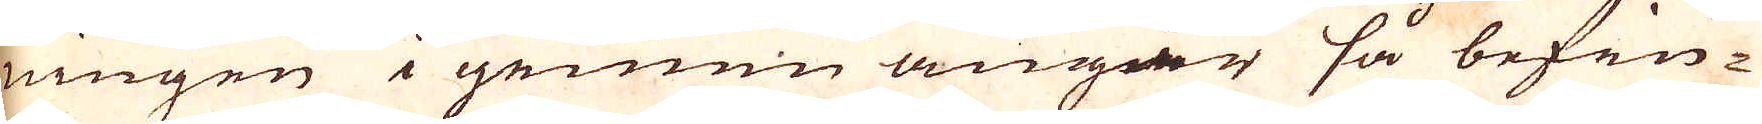ningen i gemen angår så befin-
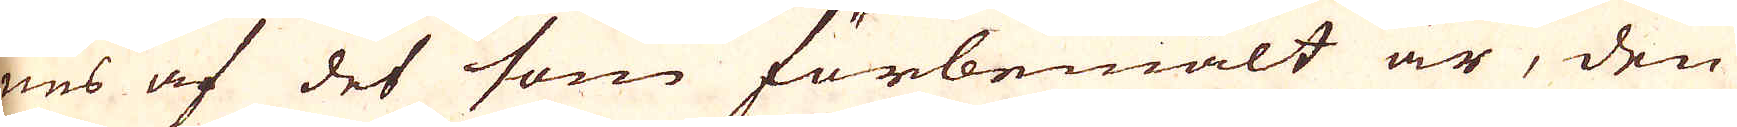nes af det som förbemält är, den
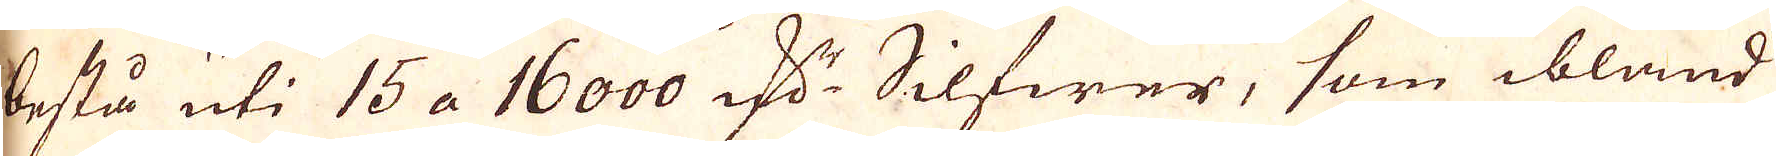bestå uti 15 a 16000 qv:r Silfwer, som ibland
